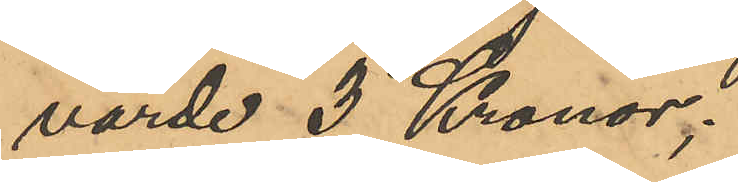värde 3 Kronor;
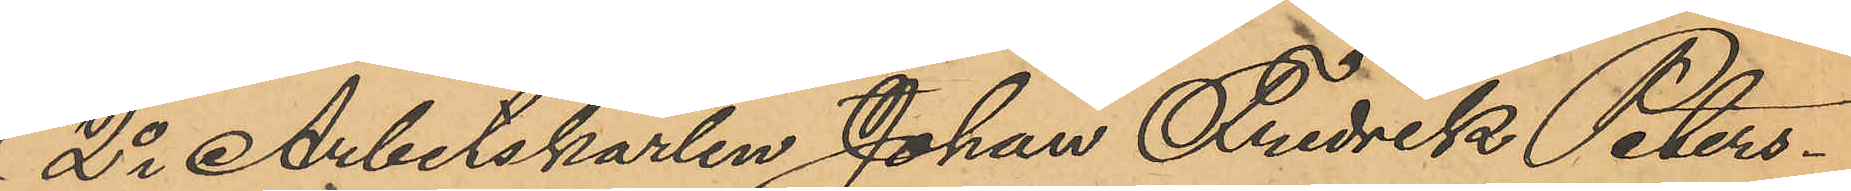2o Arbetskarlen Johan Fredrik Peters¬
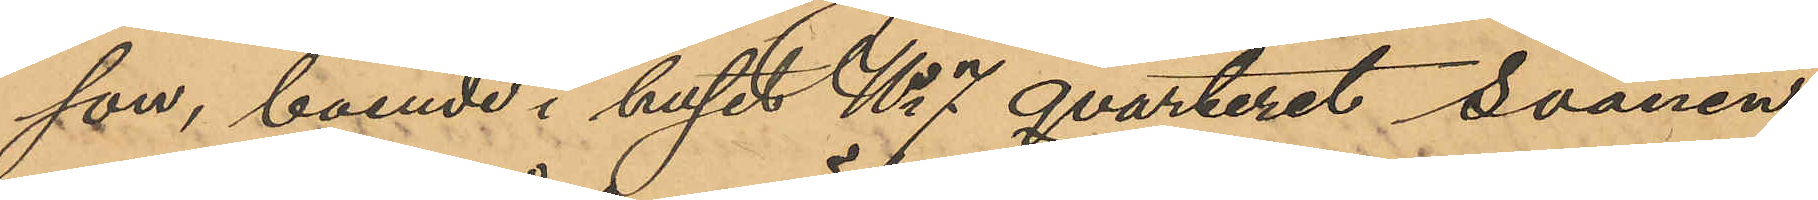son, boende i huset No 7 qvarteret Svanen
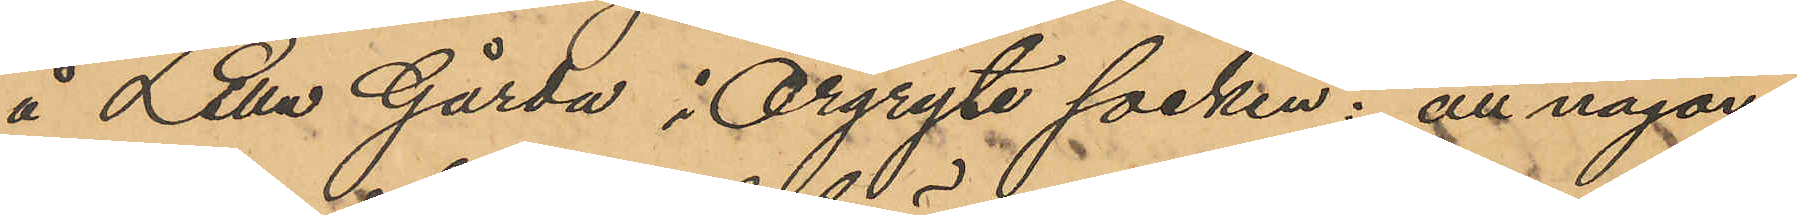å Lilla Gårda i Örgryte socken; att någon
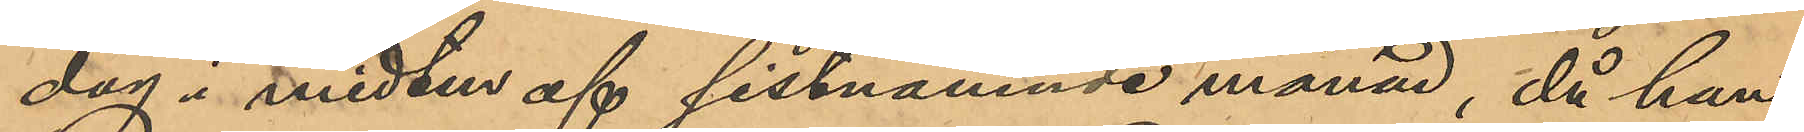dag i midten af sistnämnde månad, då han
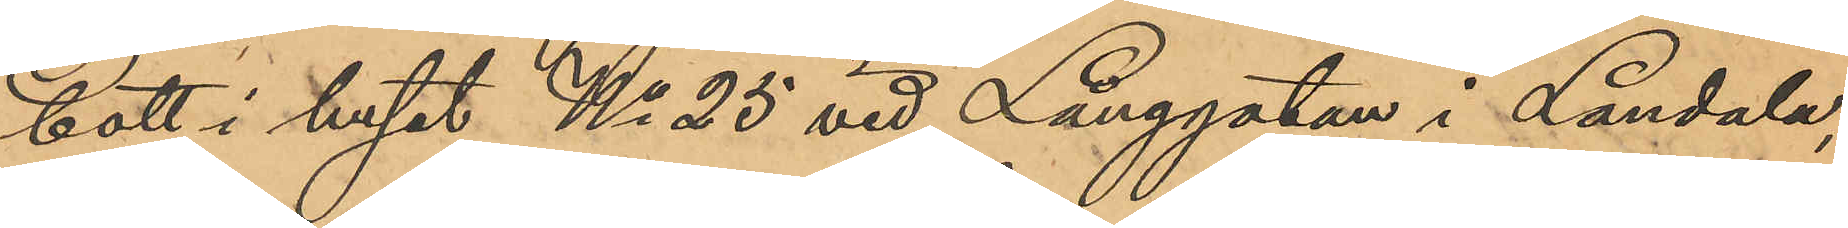bott i huset No 25 vid Långgatan i Landala,
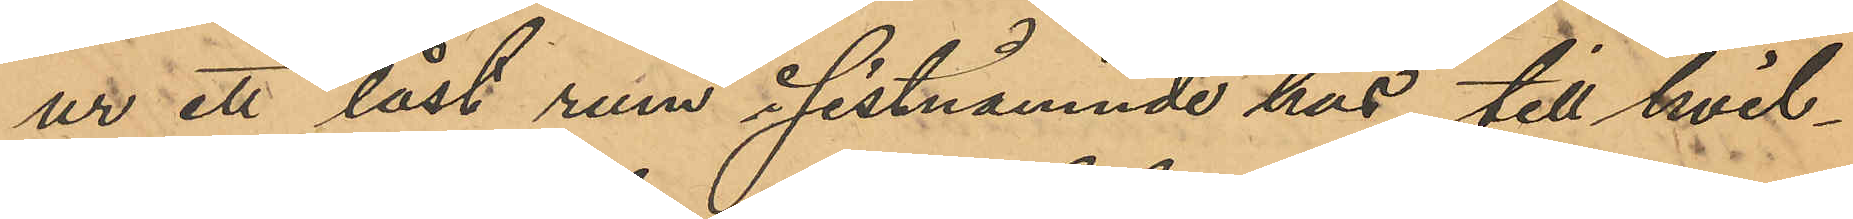ur ett låst rum i sistnämnde hus, till hvil¬
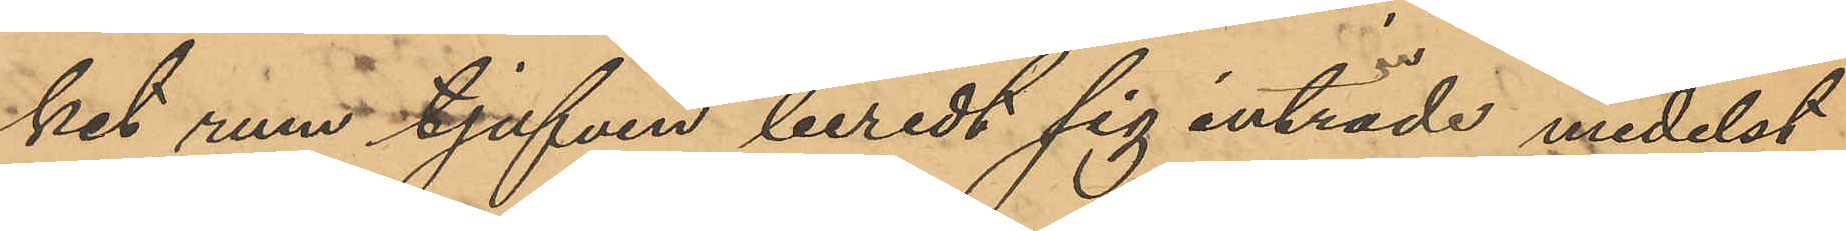ket rum tjufven beredt sig inträde medelst
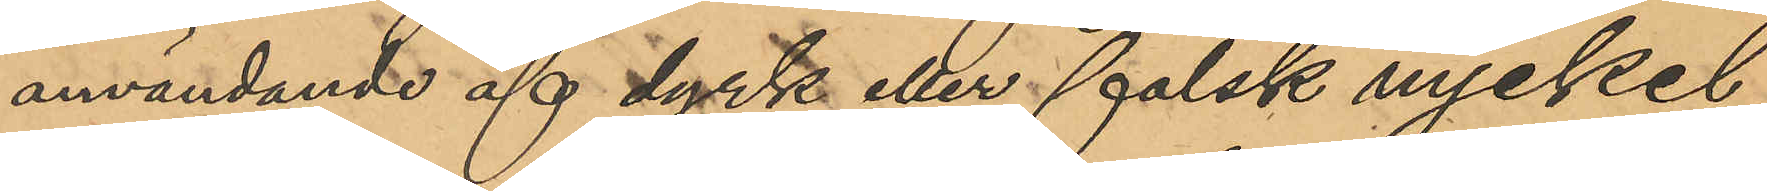användande af dyrk eller falsk nyckel,
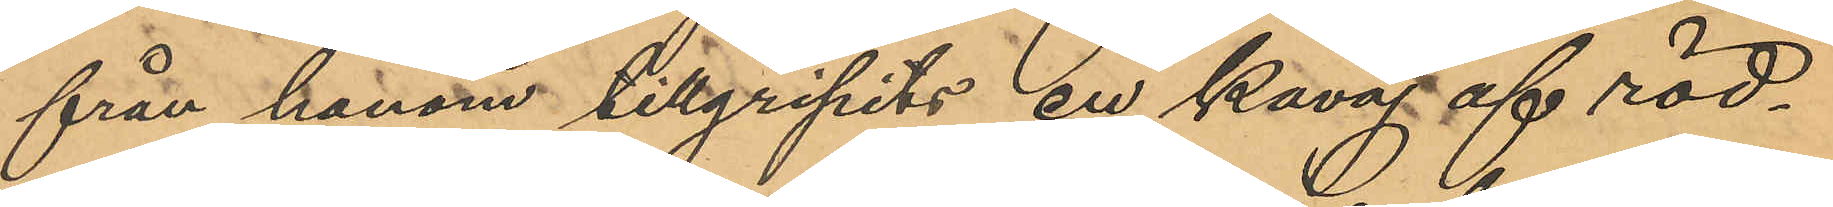från honom tillgripits en kavaj af röd¬
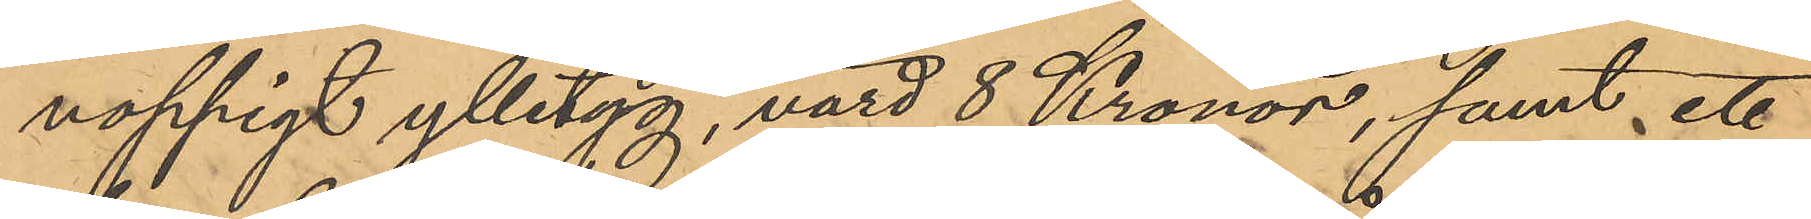noppigt ylletyg, värd 8 Kronor, samt ett
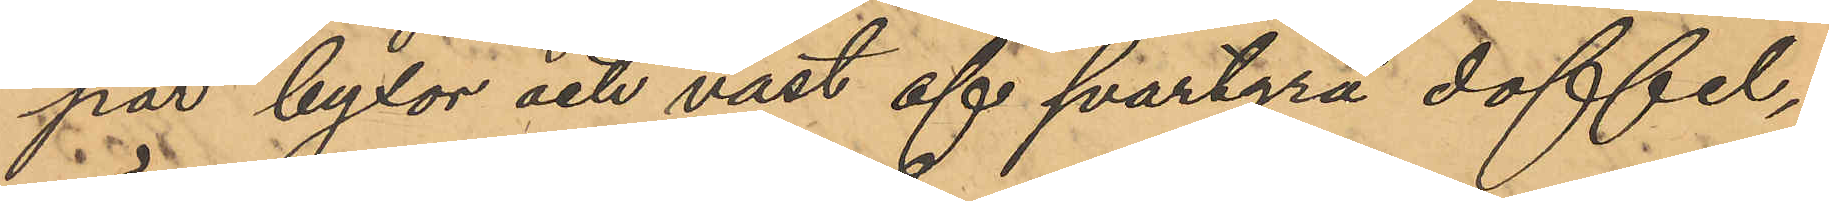par byxor och väst af svartgrå doffel,
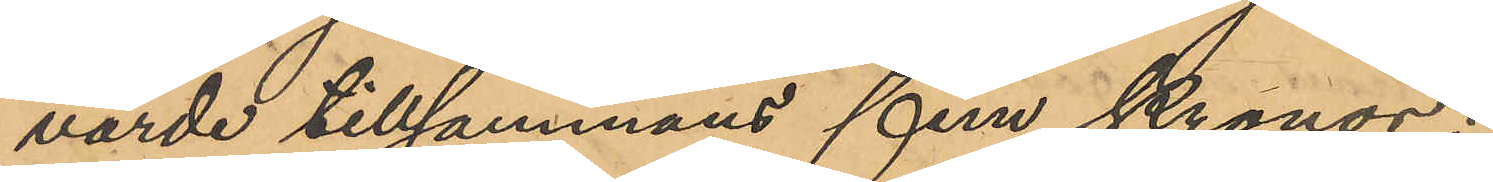värde tillsammans fem Kronor.
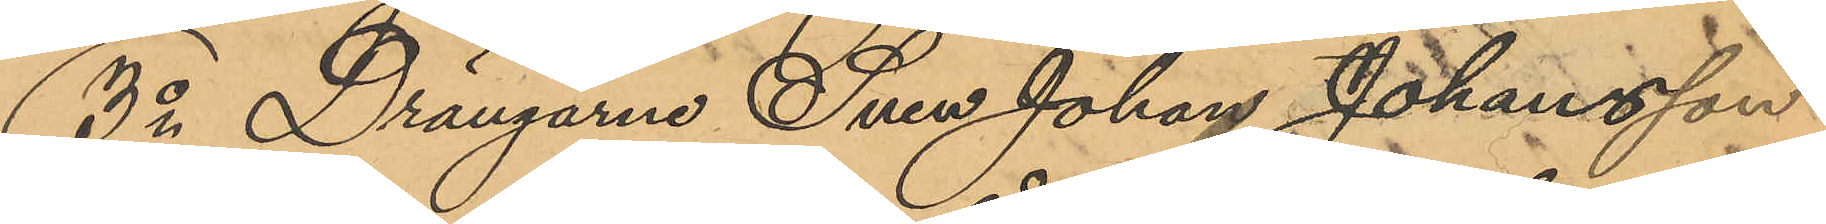3o Drängarne Sven Johan Johansson
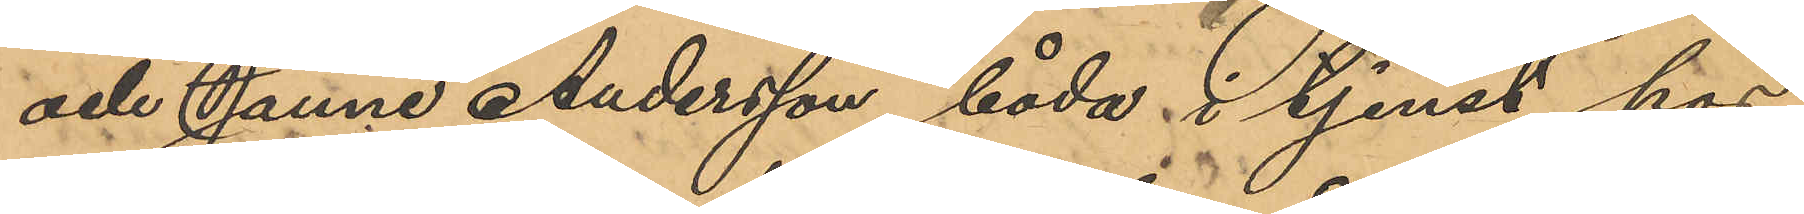och Janne Andersson, båda i tjenst hos
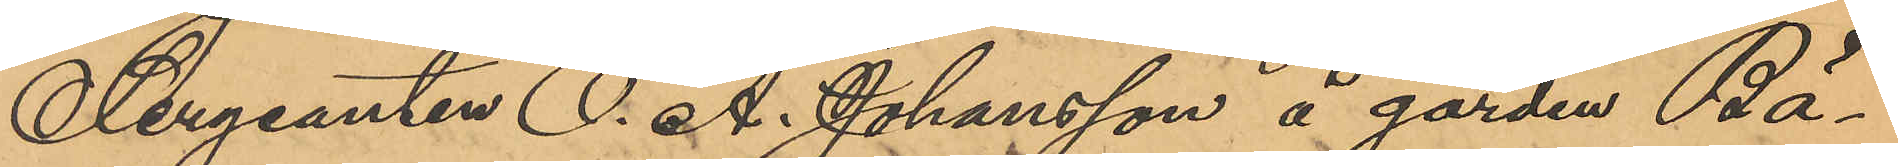Sergeanten O. A. Johansson å gården Bä¬
